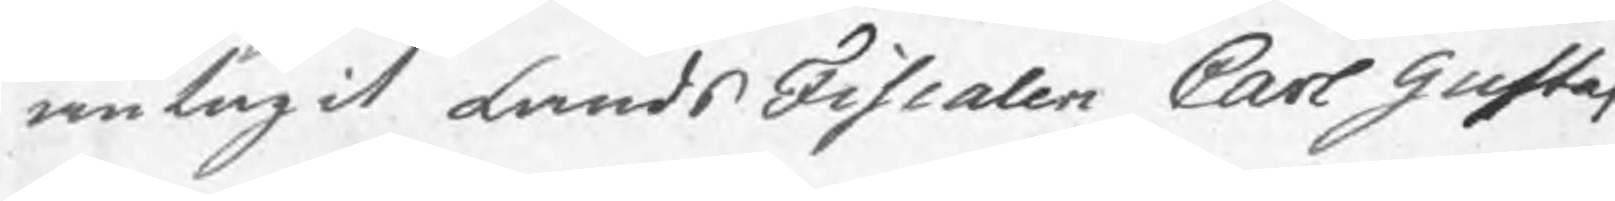antagit LandsFiscalen Carl Gustaf
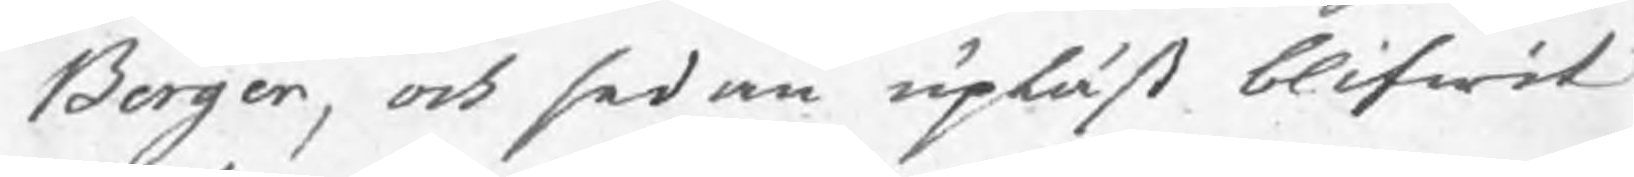Berger, och sedan upläst blifwit
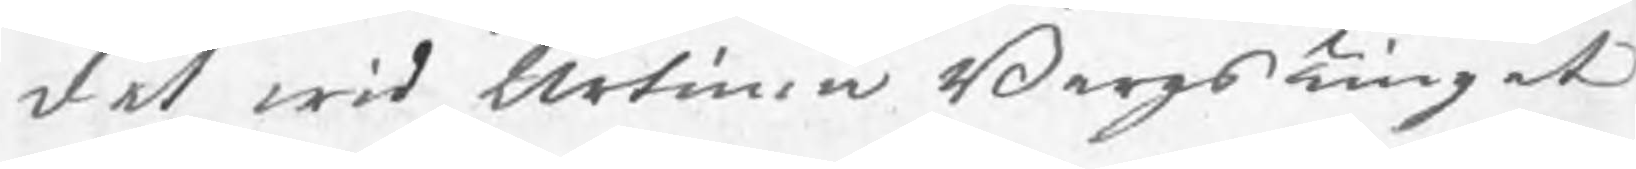det wid Urtima BergsTinget
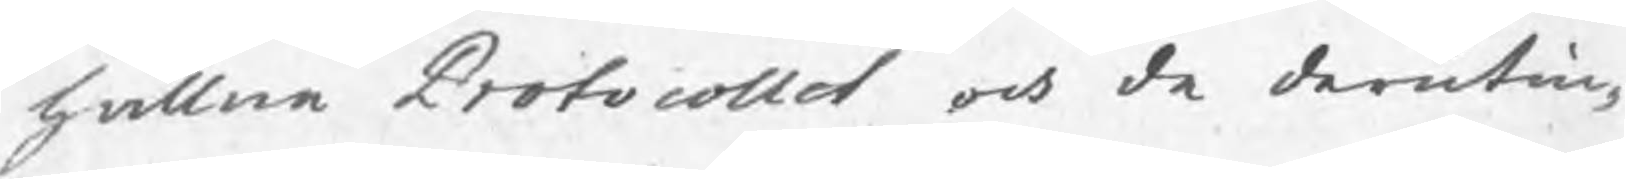hållne Protocollet och de derutin¬
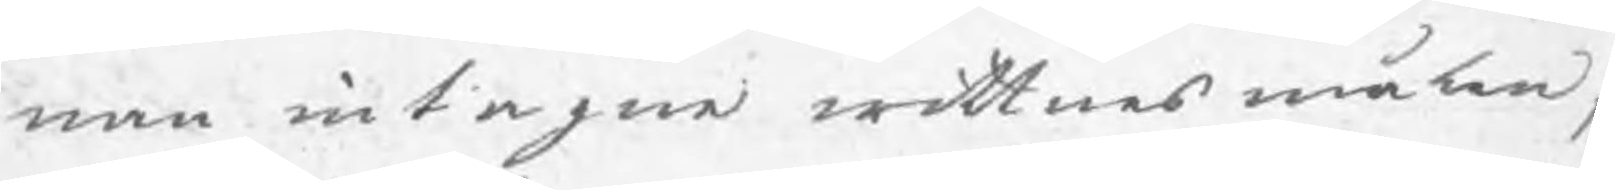nan intagne wittnesmålen,
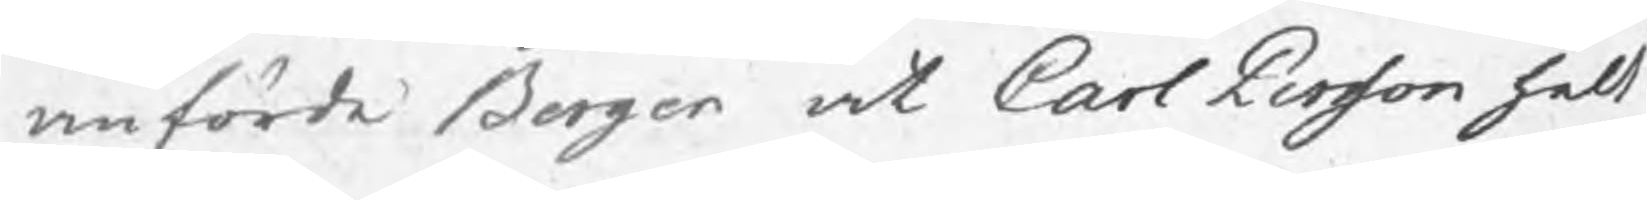anförde Berger at Carl Persson helt
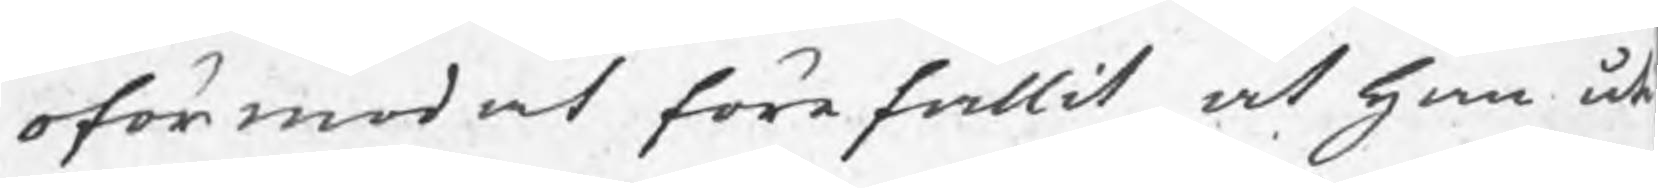oförmodat förefallit at han åt
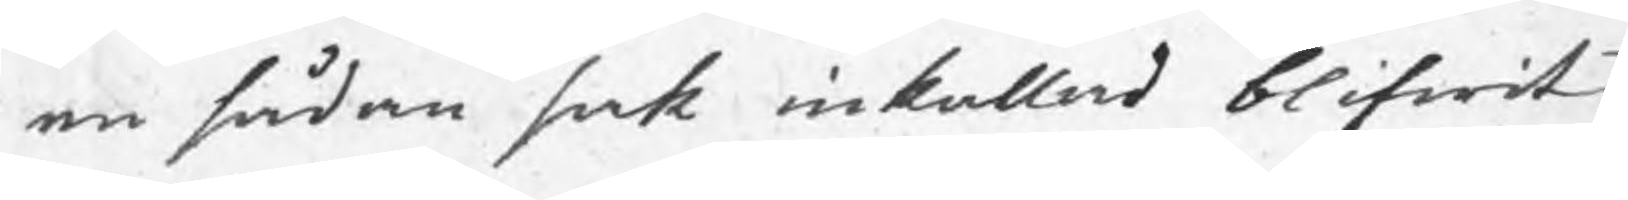en sådan sak inkallad blifwit,
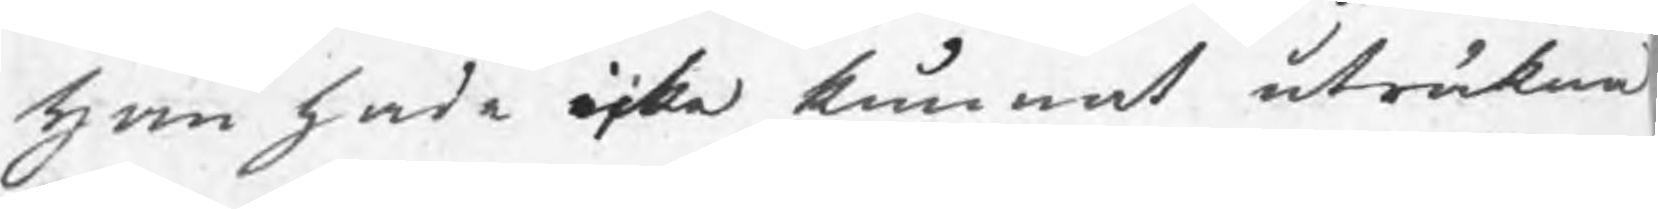han hade icke kunnat uträkna
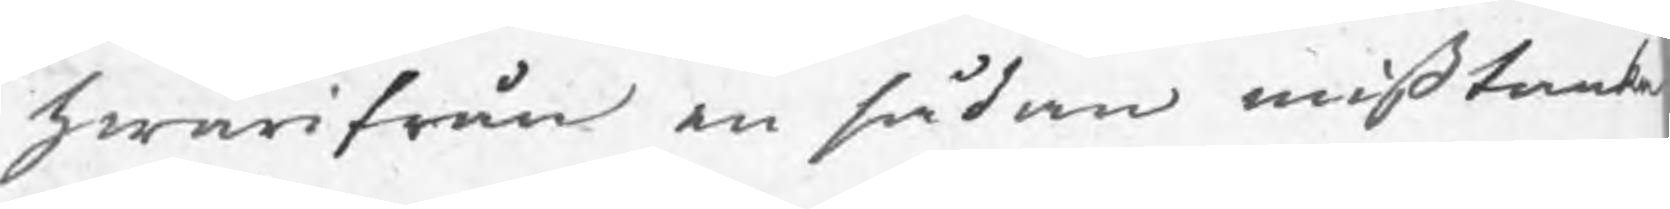hwarifrån en sådan mißtanke
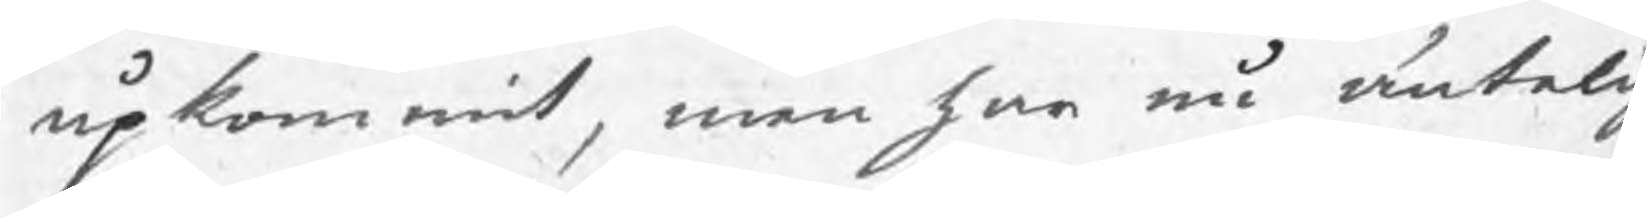upkommit, men har nu äntelig
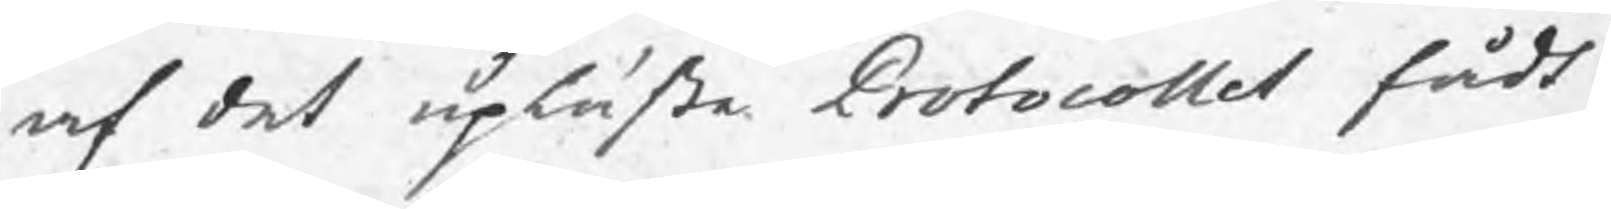af det upläste Protocollet fådt
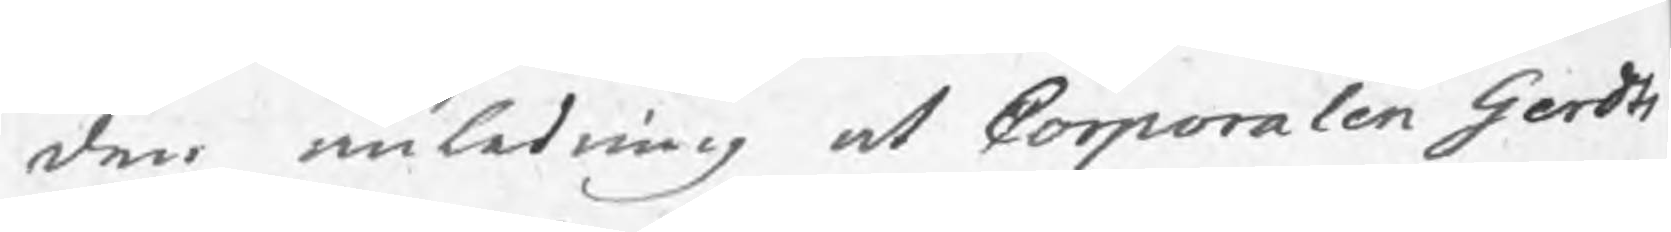den anledning at Corporalen Gerdts
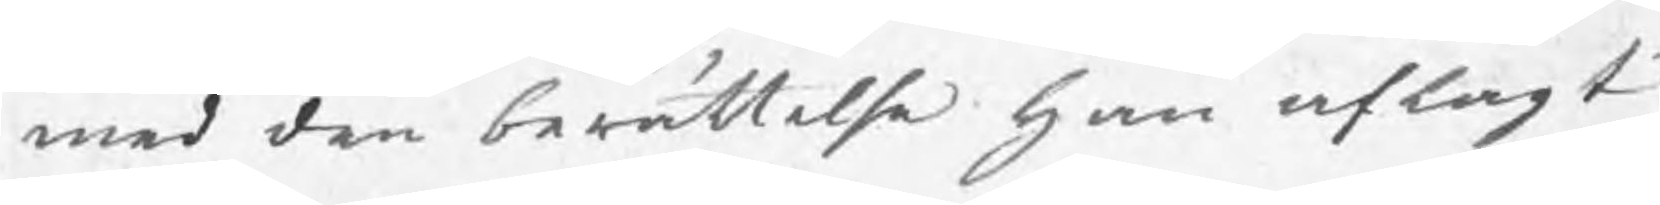med den berättelse han aflagt
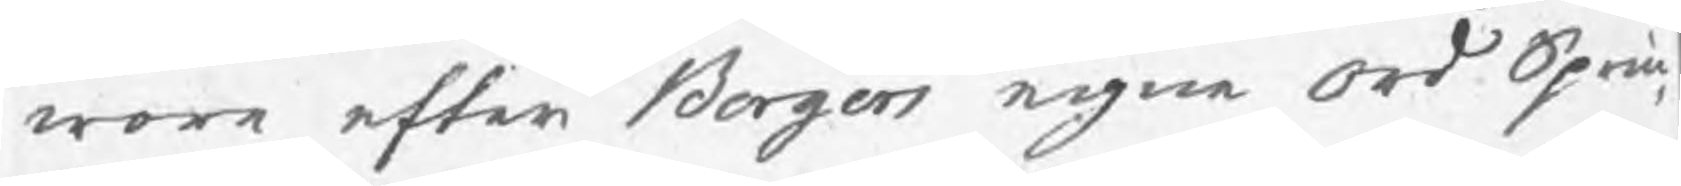wara efter Bergers egne ord Sprin¬
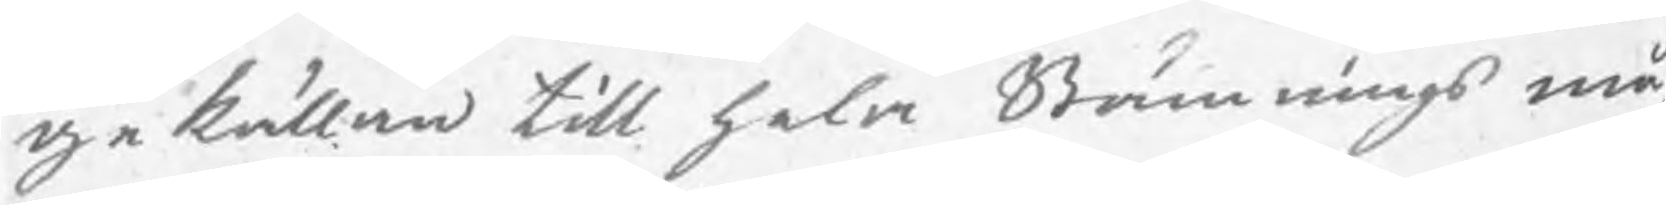gekällan till hela Stämnings må¬
